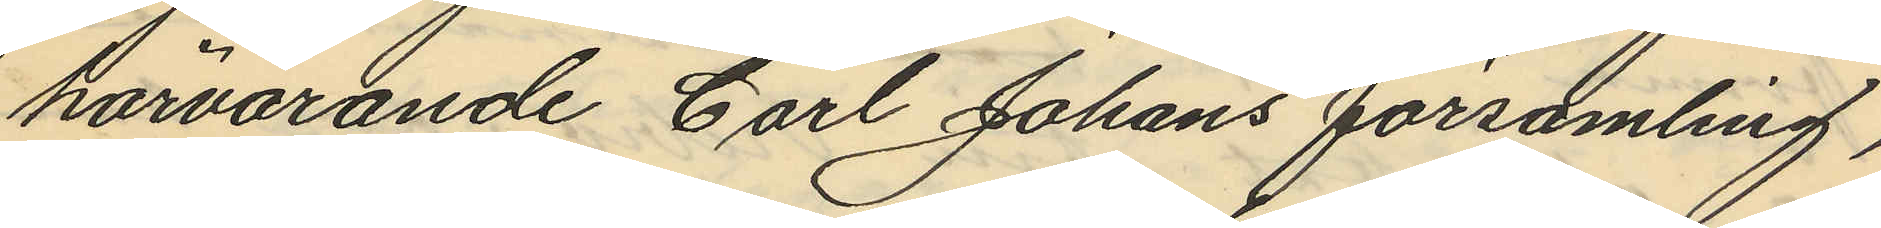härvarande Carl Johans församling,
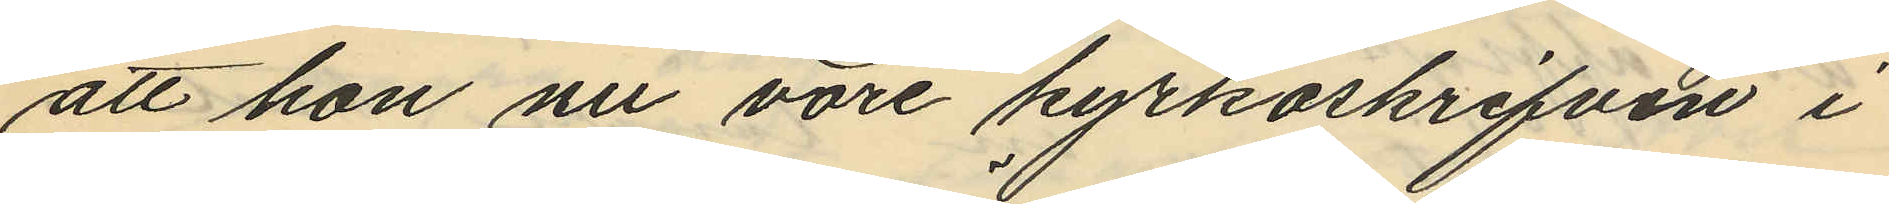att hon nu vore kyrkoskrifven i
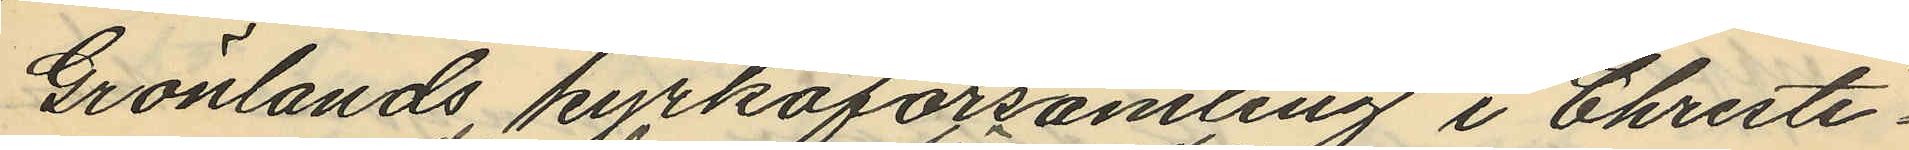Grönlands kyrkoförsamling i Christi¬
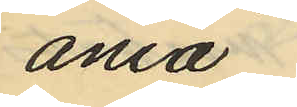ania
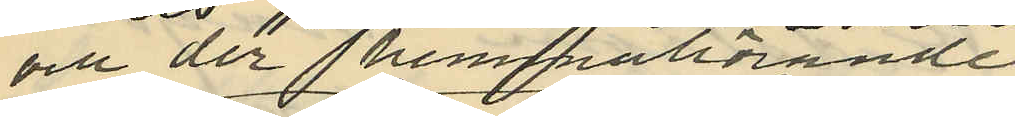och der hemmahörande
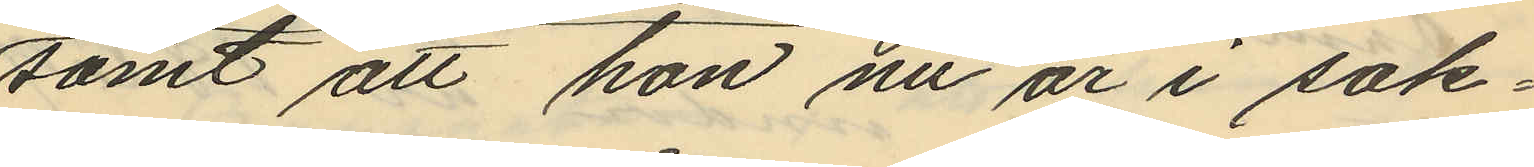samt att hon nu är i sak¬
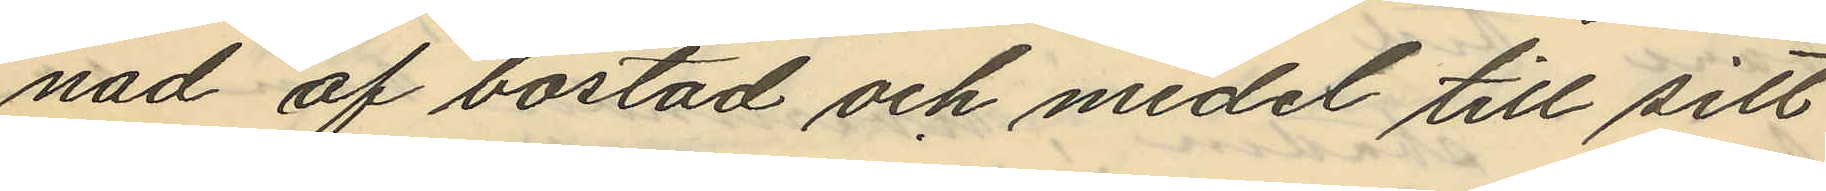nad af bostad och medel till sitt
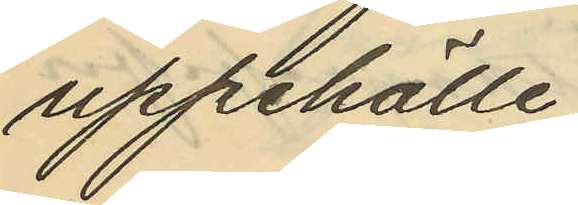uppehälle.
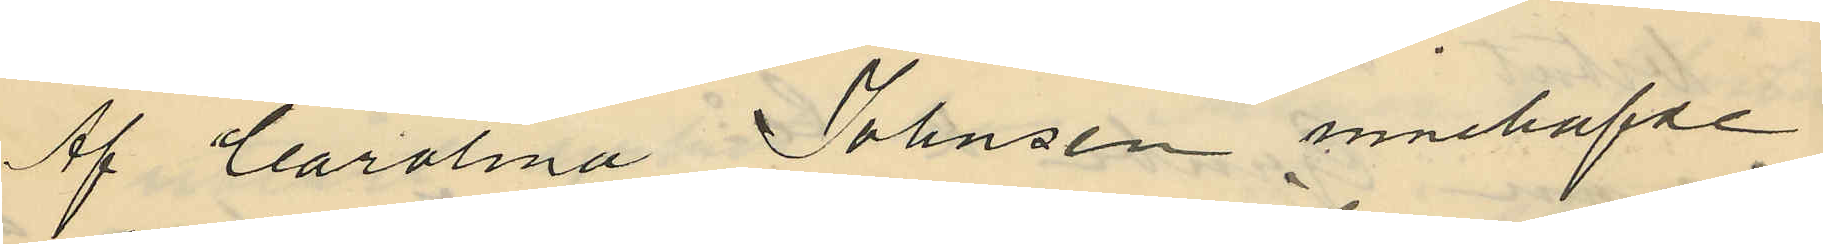Af Carolina Johnsen innehafde
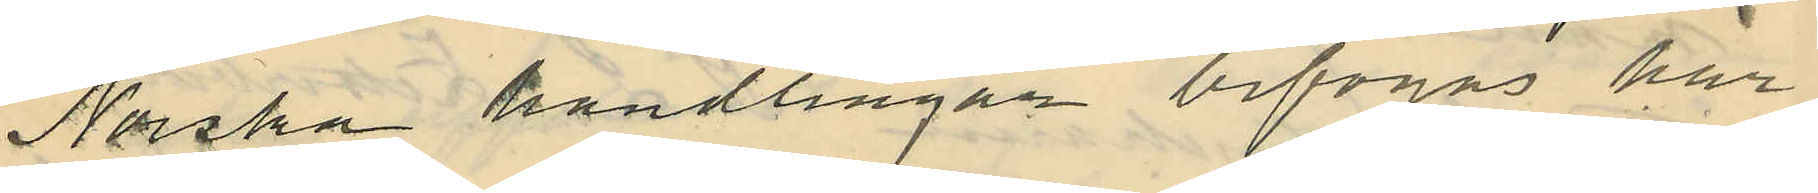Norska handlingar bifogas här
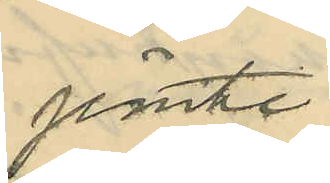jemte.
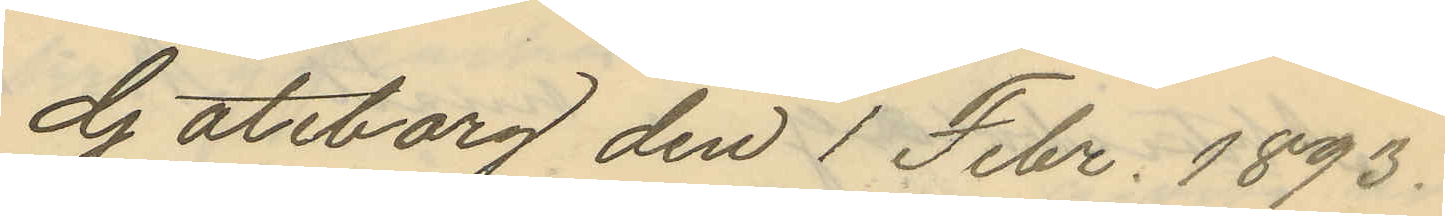Göteborg den 1 Febr. 1893.
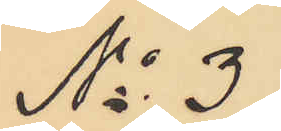No 3.
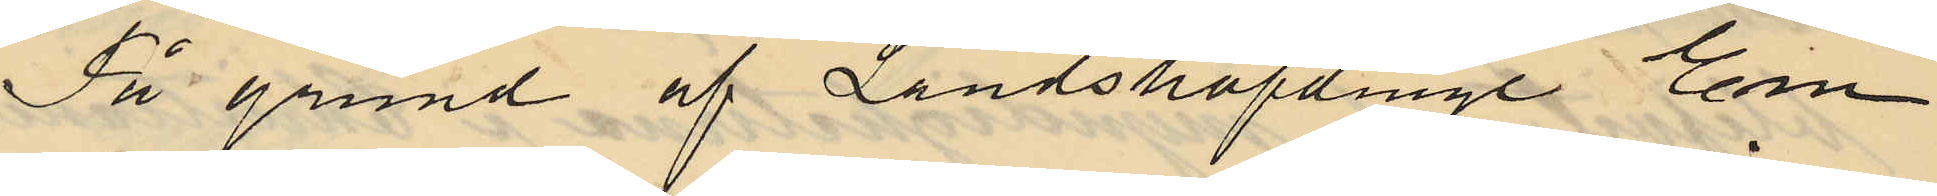På grund af Landshöfdinge Em¬
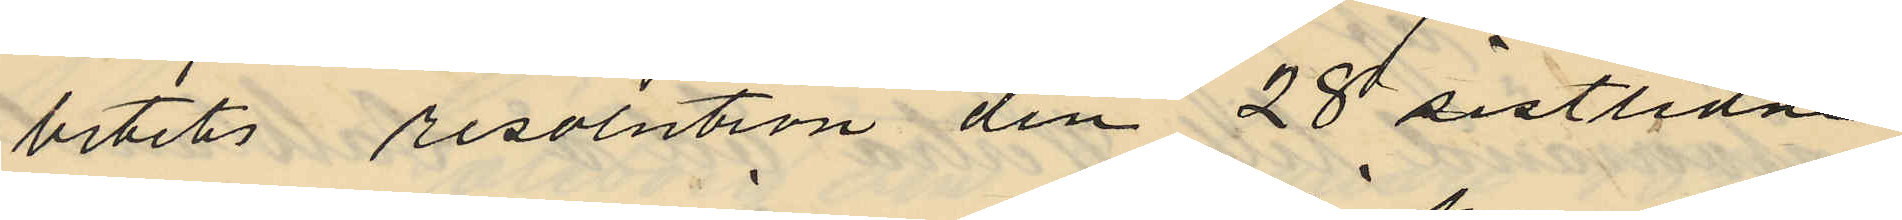betets resolution den 28 sistlidne
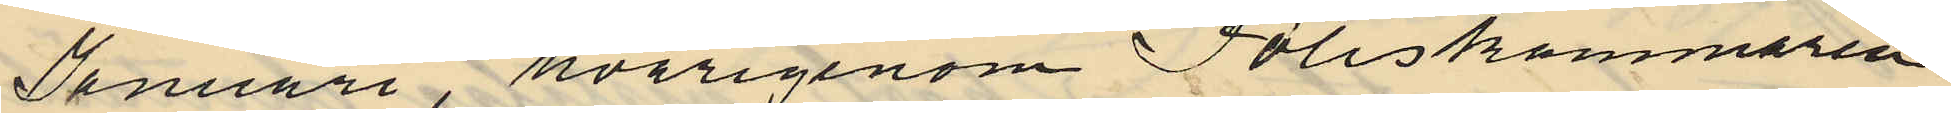Januari, hvarigenom Poliskammaren
